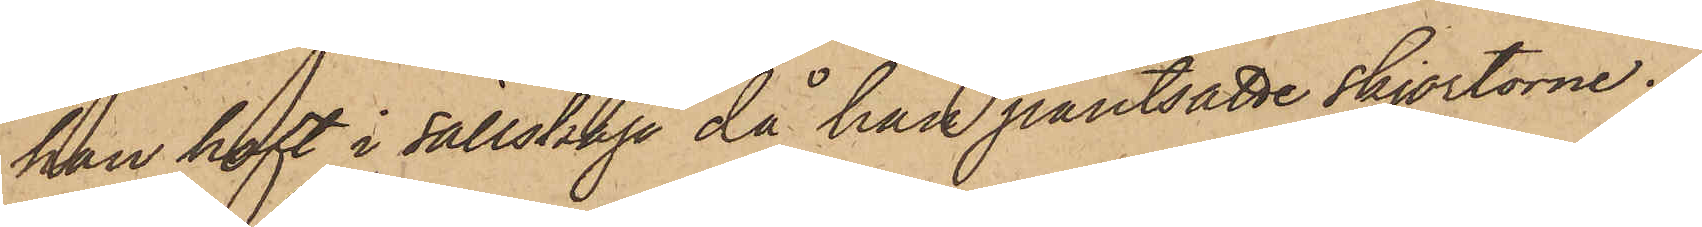han haft i sällskap då han pantsatte skjortorne.
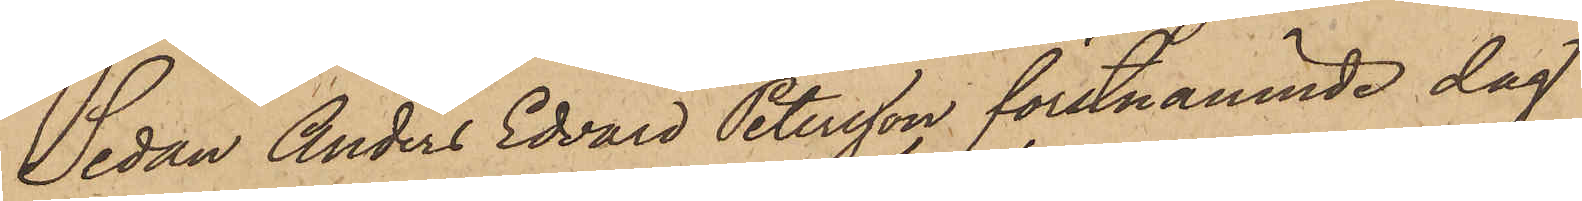Sedan Anders Edvard Petersson förstnämnde dag
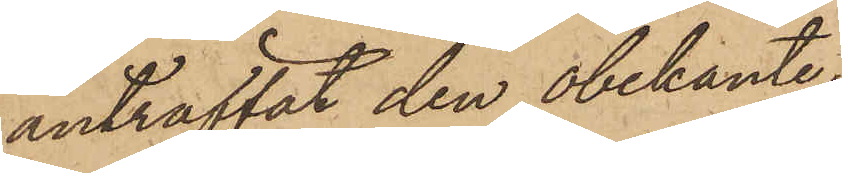anträffat den obekante,
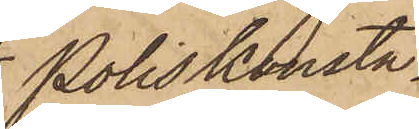Poliskonsta¬
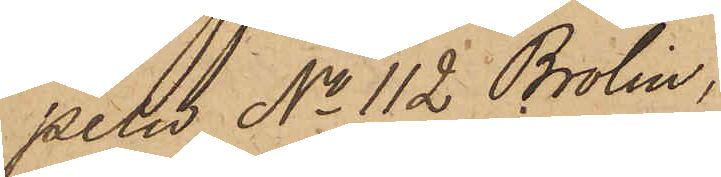peln No 112 Brolin,
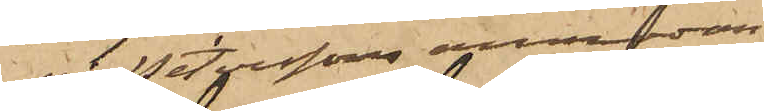på Peterssons anmodan
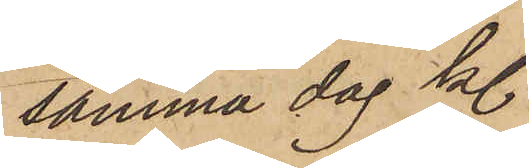samma dag kl.
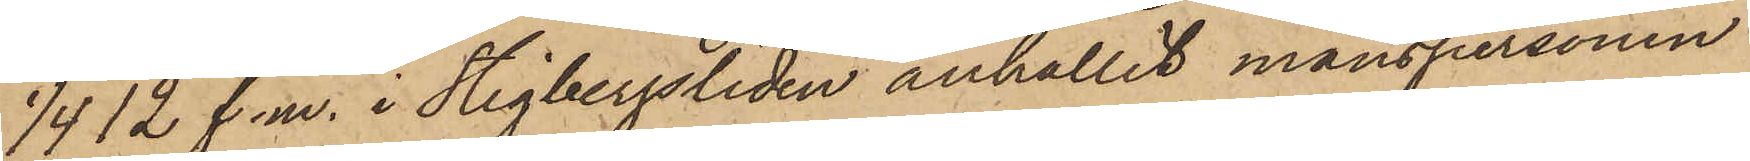1/4 12 f. m. i Stigbergsliden anhållit manspersonen
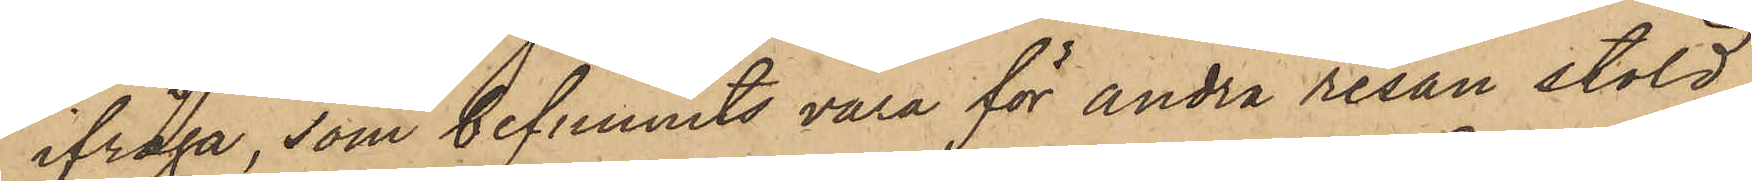ifråga, som befunnits vara för andra resan stöld
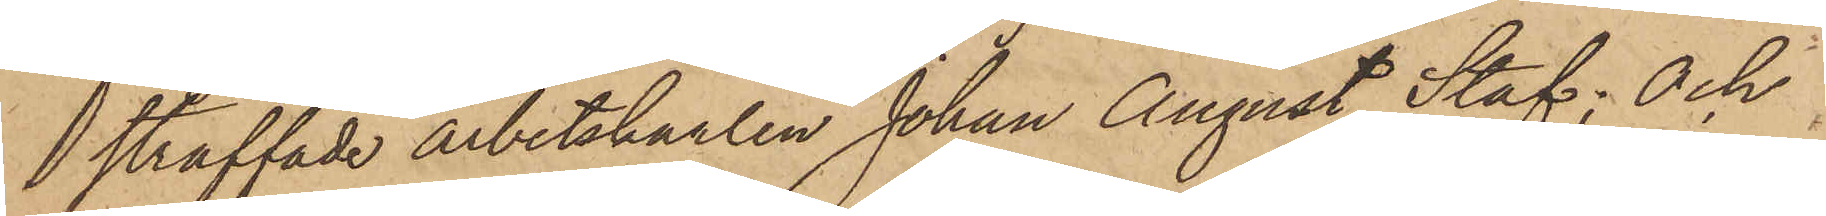straffade arbetskarlen Johan August Staf; Och
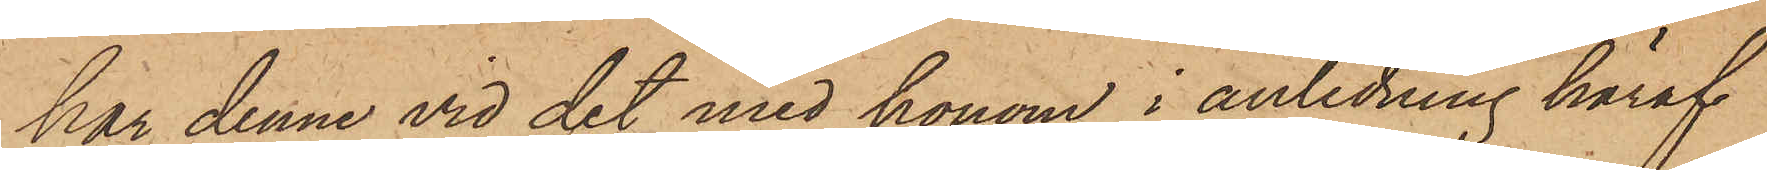har denne vid det med honom i anledning häraf
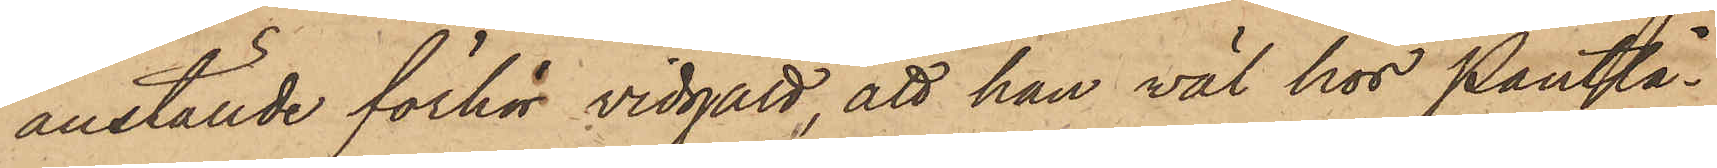anställde förhör vidgått, att han väl hos Pantlå¬
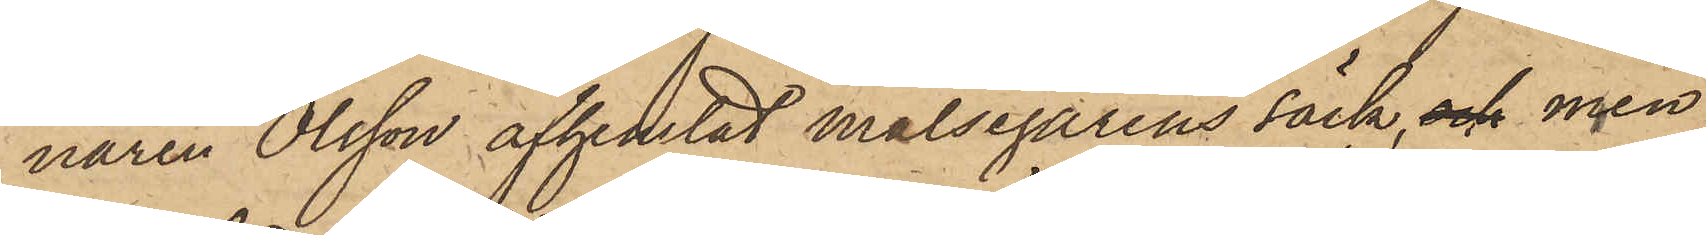naren Olsson afhemtat målsegarens säck, och men
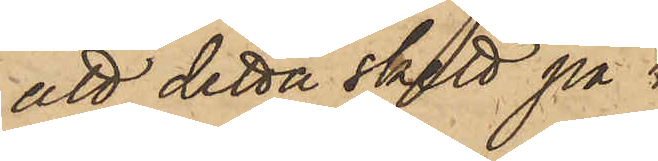att detta skett på 
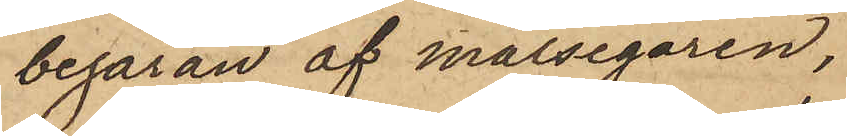begäran af målsegaren,
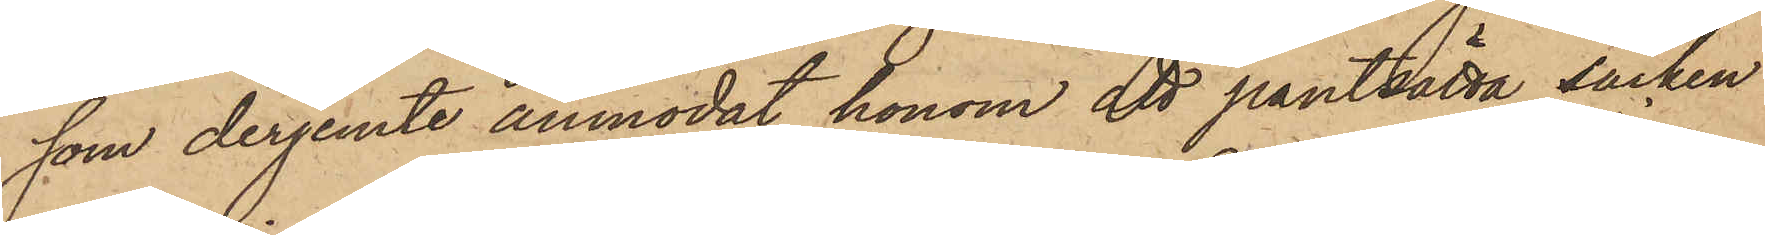som derjemte anmodat honom att pantsätta säcken
